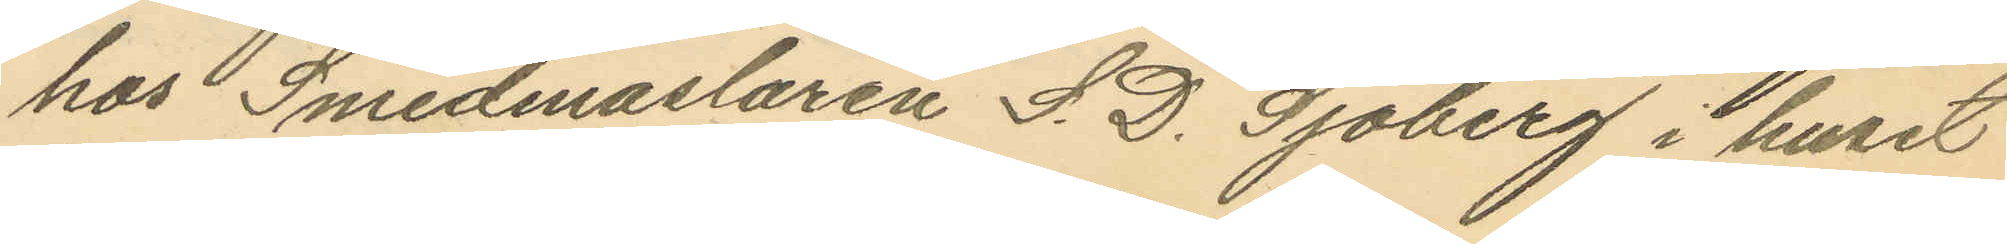hos Smedmastaren S. D. Sjöberg i huset
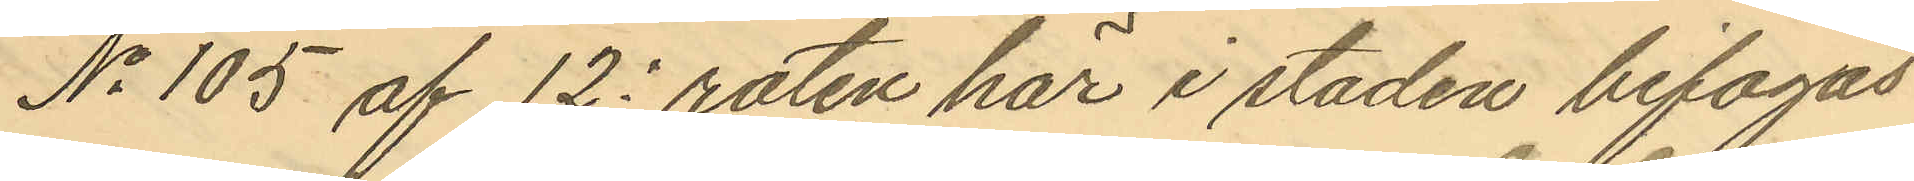No 105 af 12: roten här i staden bifogas
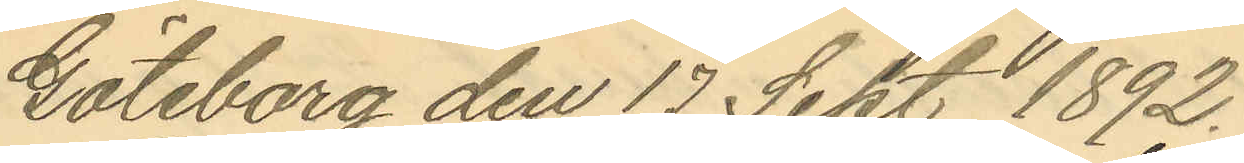Göteborg den 17 Sept 1892.
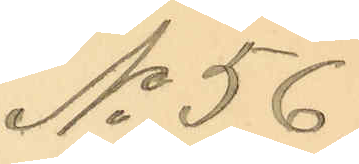No 56.
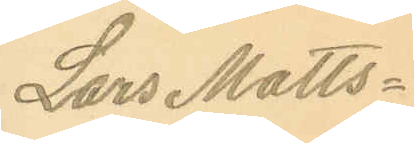Lars Matts¬
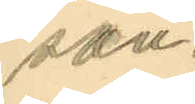son.
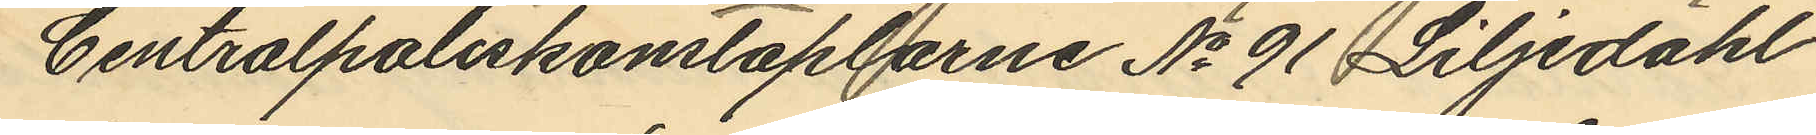Centralpoliskonstaplarne No 91 Liljedahl
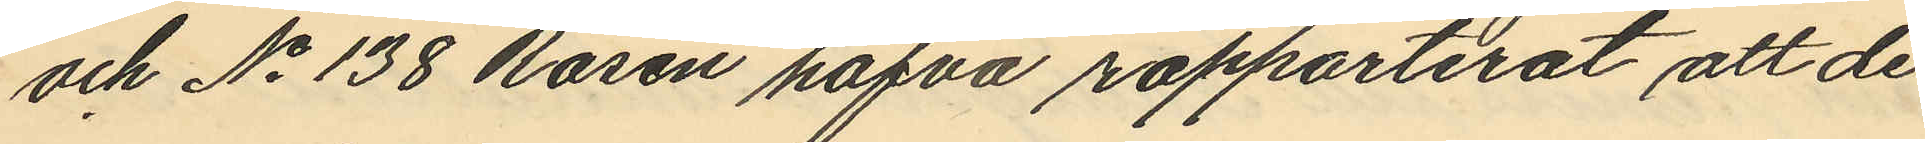och No 138 Rosén hafva rapporterat att de
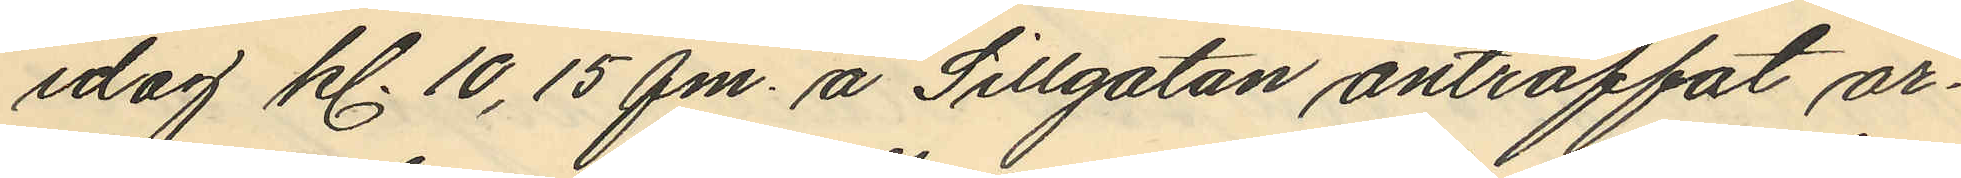idag kl. 10,15 fm. å Sillgatan anträffat ar¬
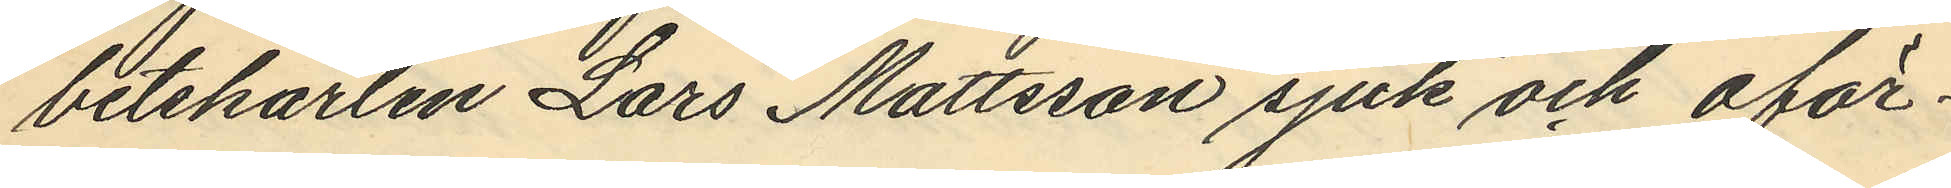betskarlen Lars Mattsson sjuk och oför¬
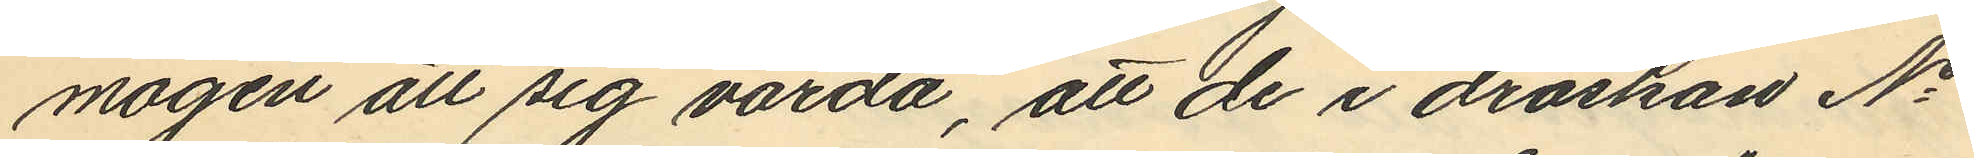mögen att sig vårda, att de i droskan No
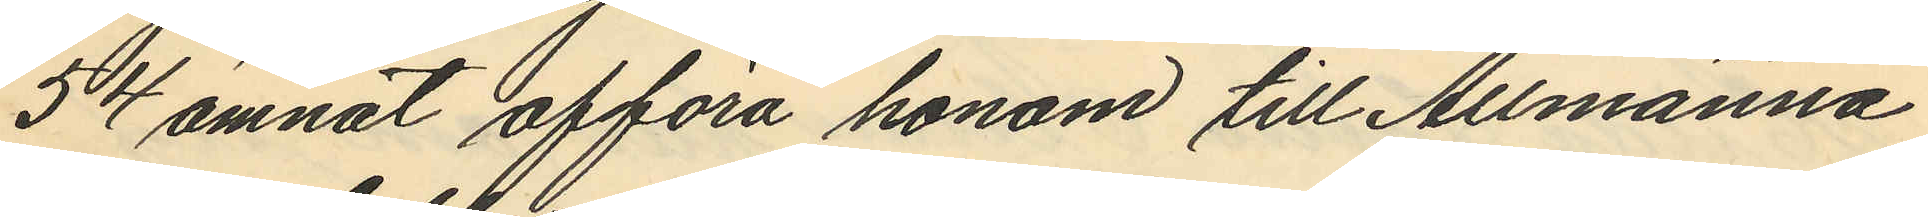54 ämnat afföra honom till Allmänna
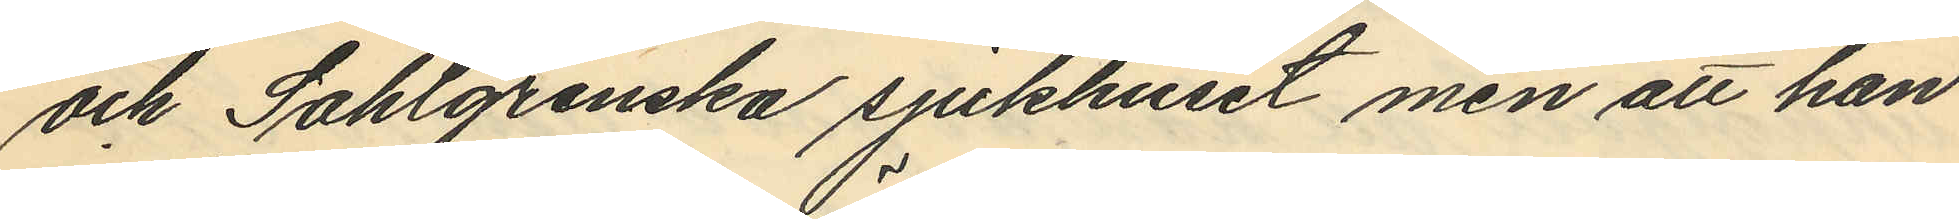och Sahlgrenska sjukhuset men att han
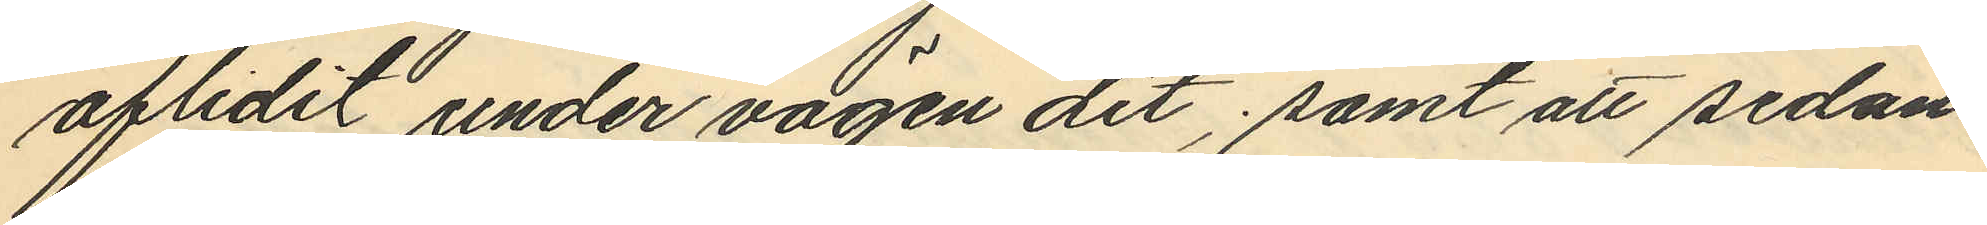aflidit under vägen dit, samt att sedan
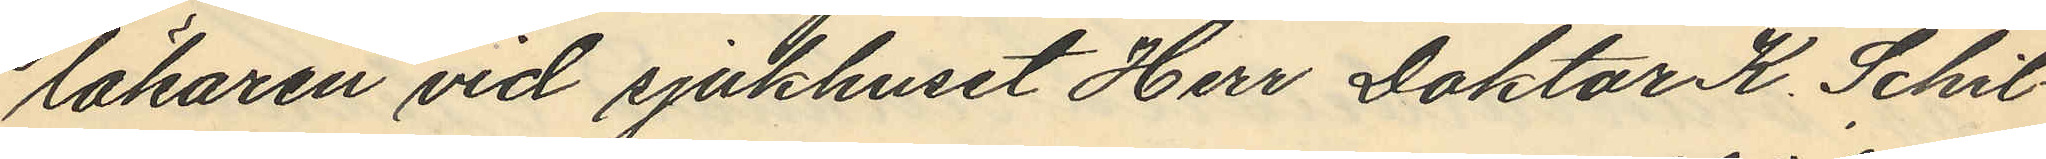läkaren vid sjukhuset Herr Doktor K. Schil¬
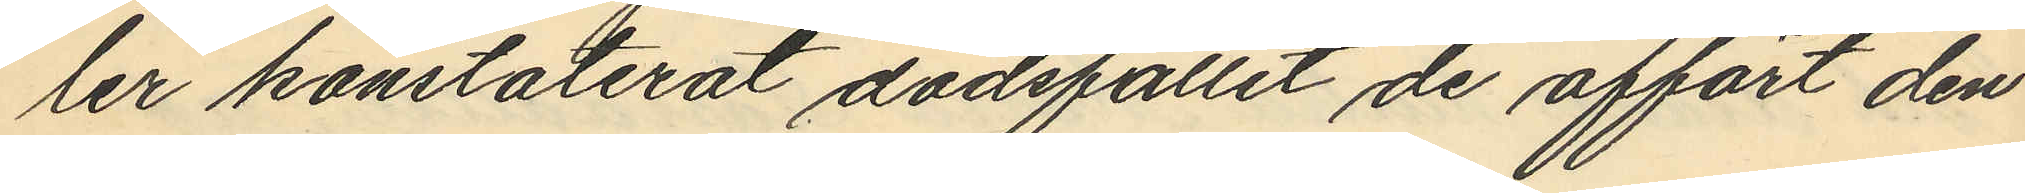ler konstaterat dödsfallet de affört den
